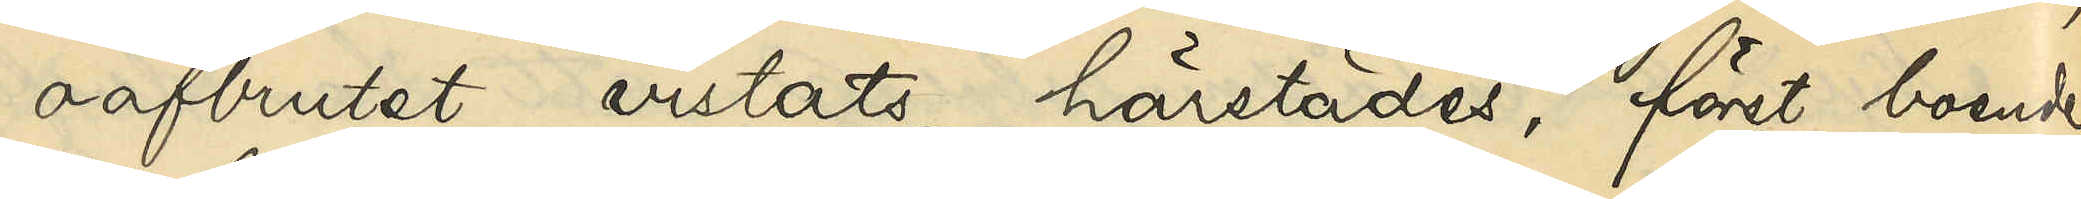oafbrutet vistats härstädes, först boende
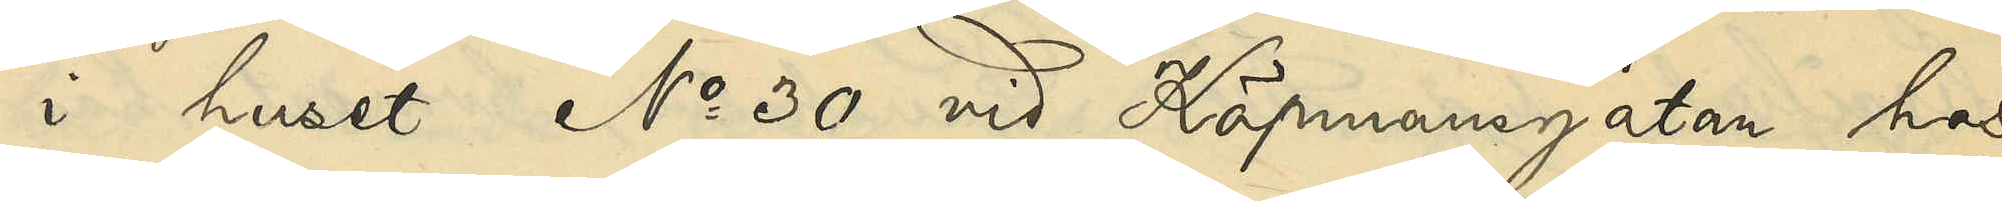i huset No 30 vid Köpmansgatan hos
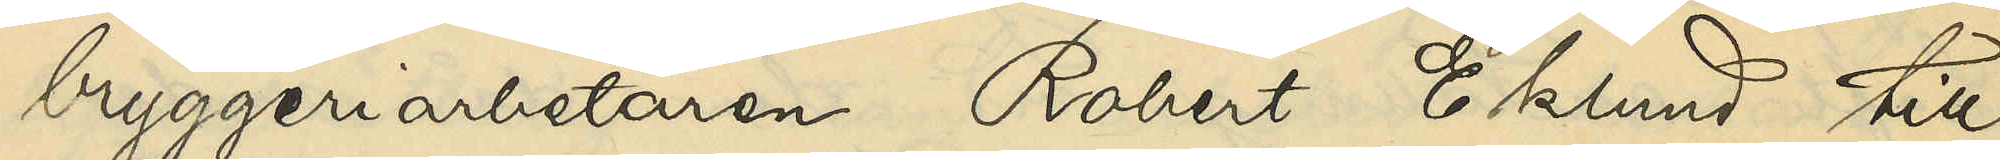bryggeriarbetaren Robert Eklund till
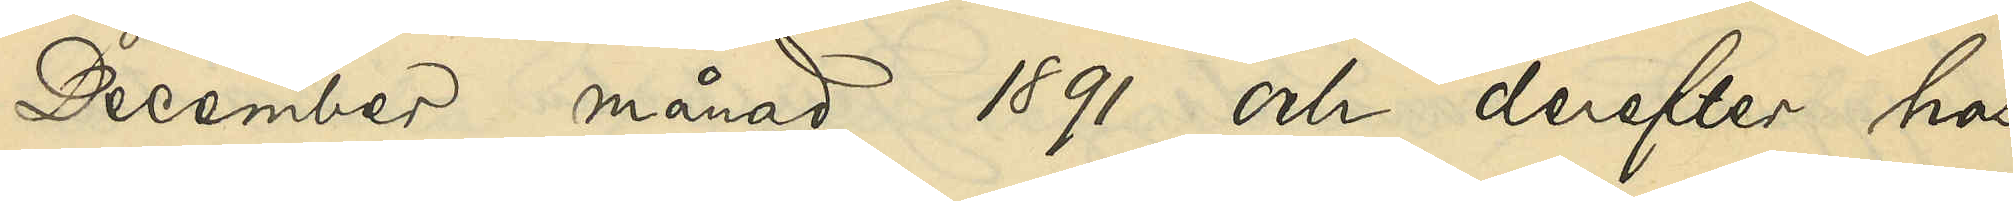December månad 1891 och derefter hos
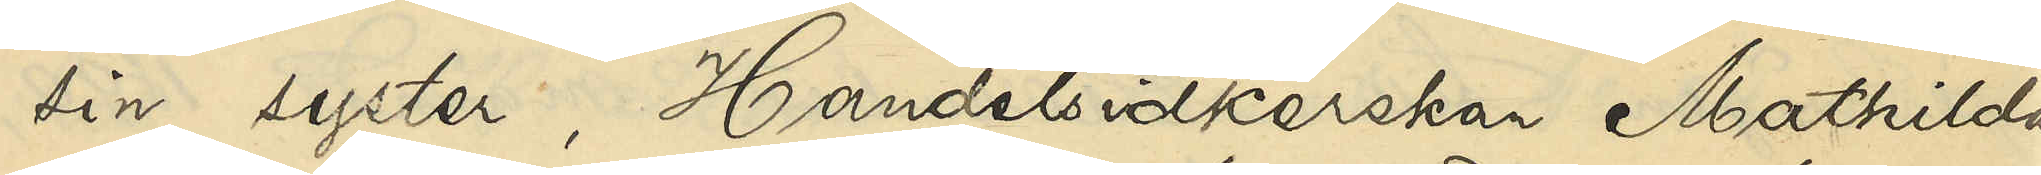sin syster, Handelsidkerskan Mathilda
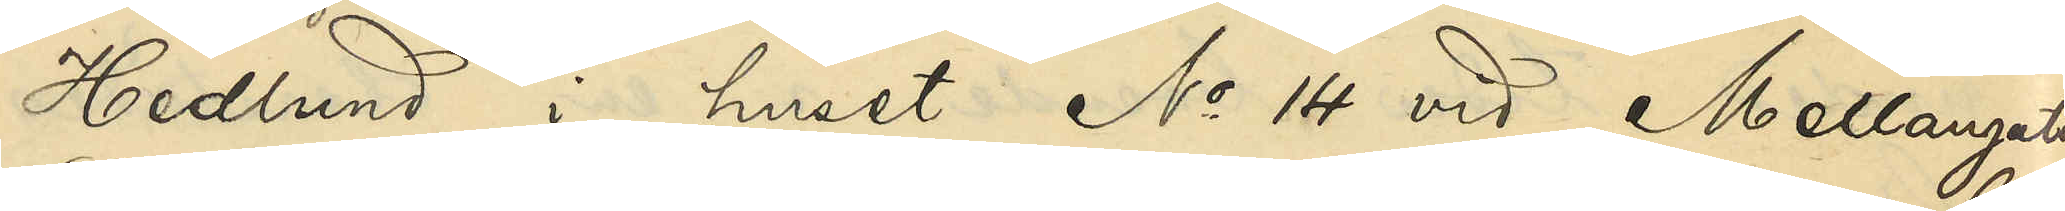Hedlund i huset No 14 vid Mellangatan
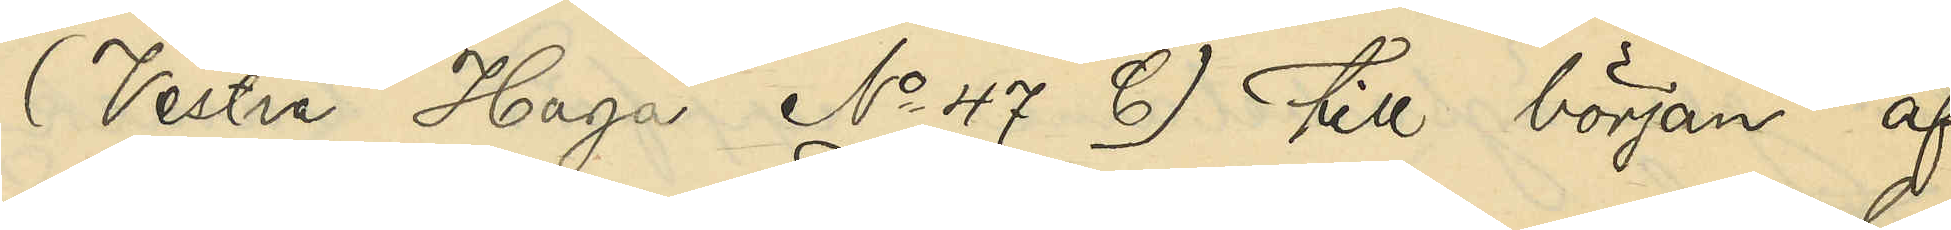(Vestra Haga No 47 C) till början af
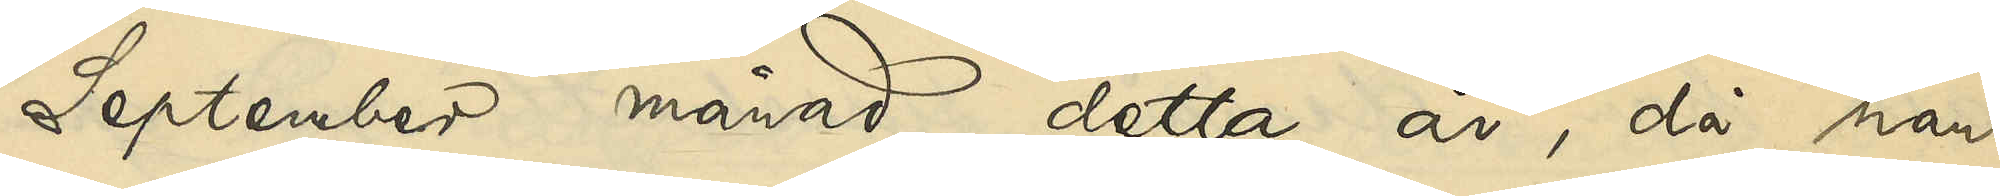September månad detta år, då han
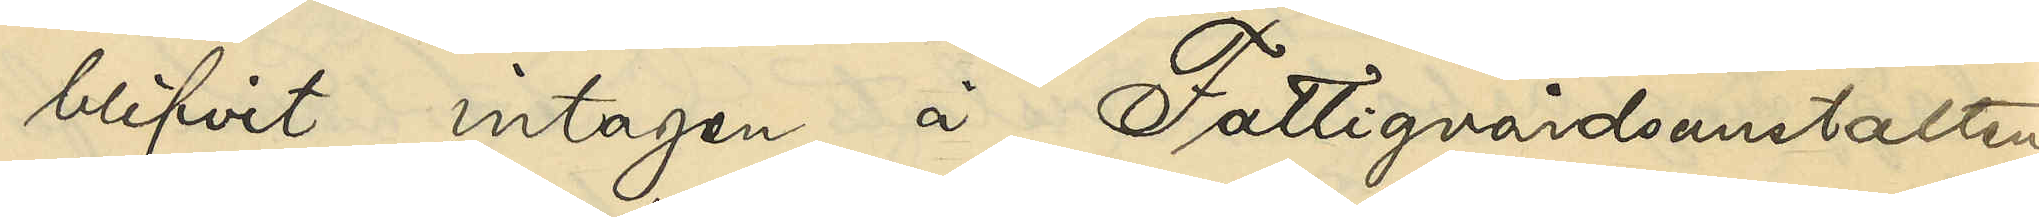blifvit intagen å Fattigvårdsanstalten
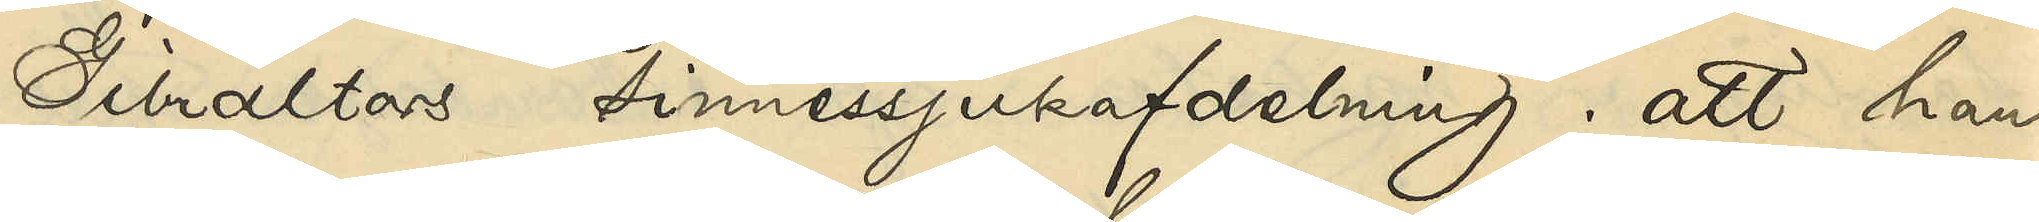Gibraltars sinnessjukafdelning; att han
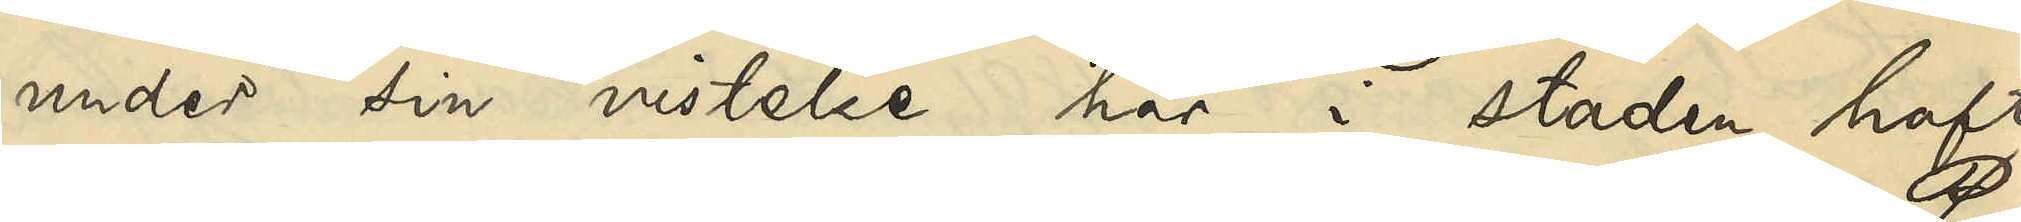under sin vistelse här i staden haft
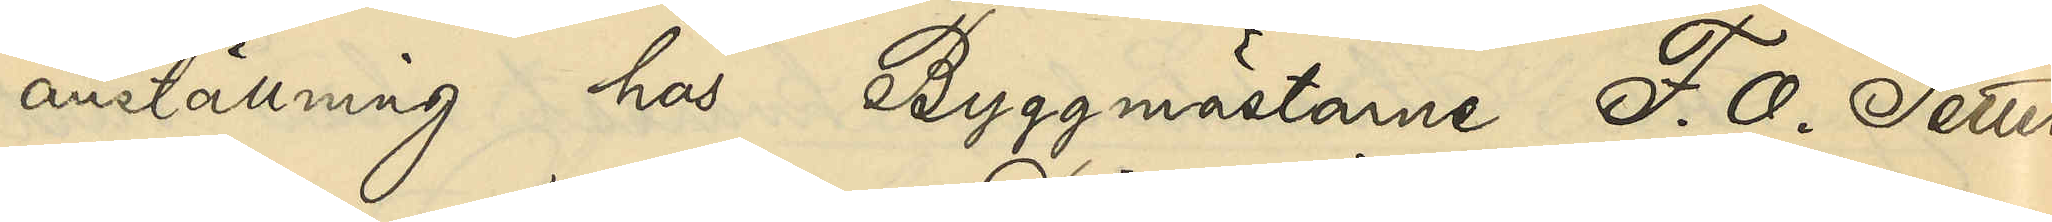anställning hos Byggmästarne F. O. Petters¬
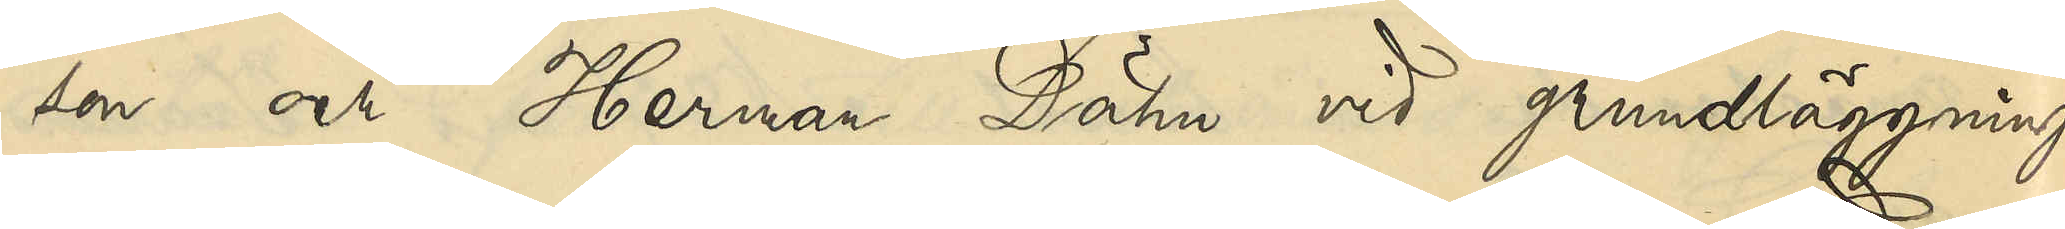son och Herman Dähn vid grundläggnings¬
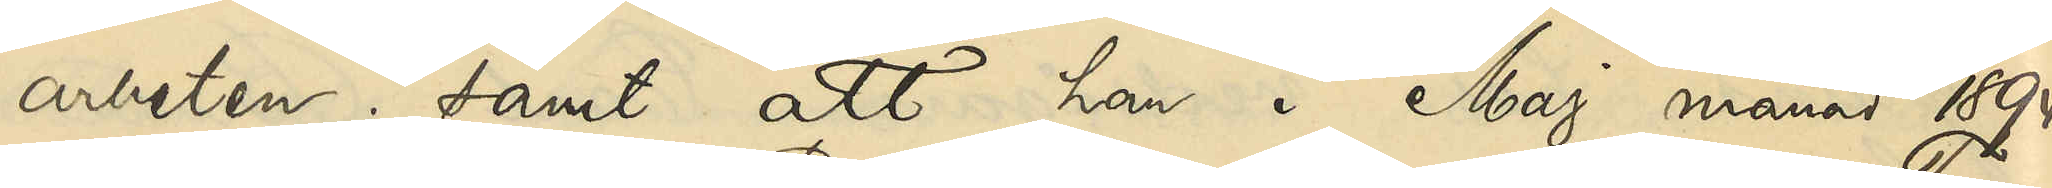arbeten; samt att han i Maj månad 1894
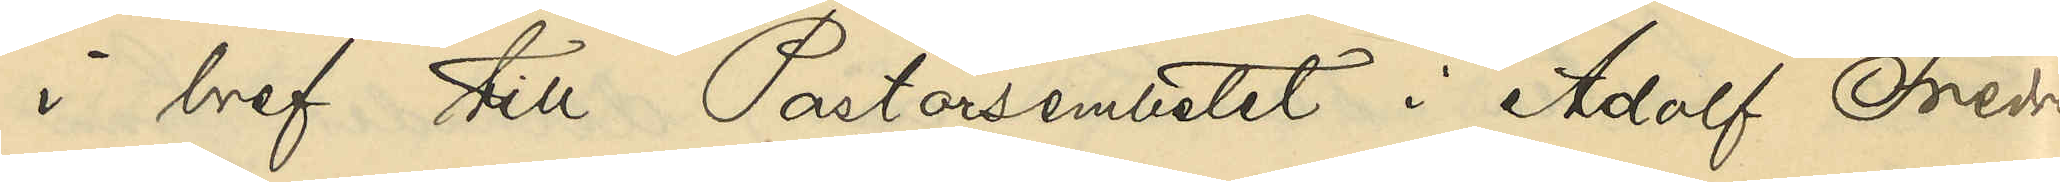i bref till Pastorsembetet i Adolf Fredriks
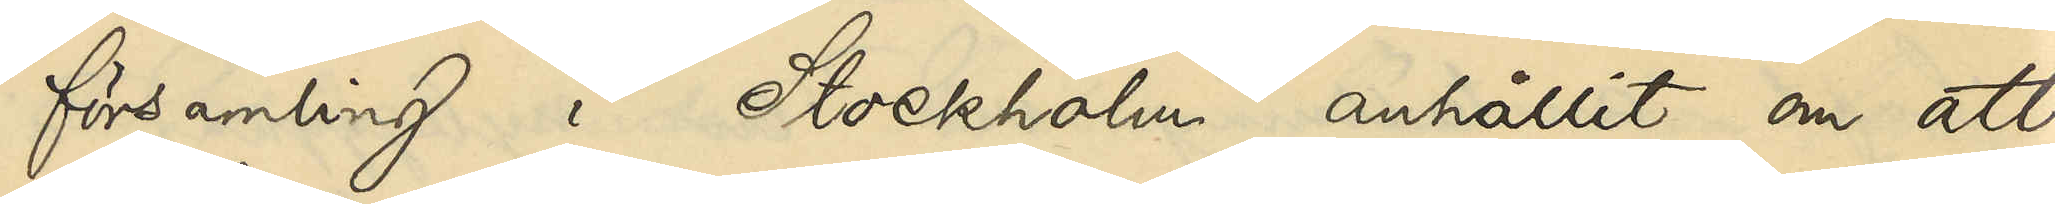församling i Stockholm anhållit om att
